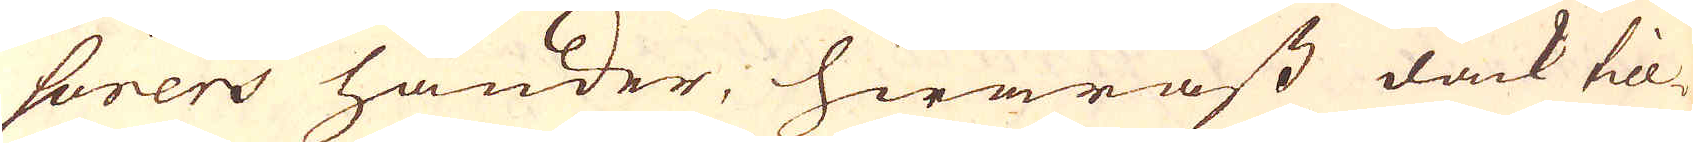sorers händer, hwaräst dåck till-
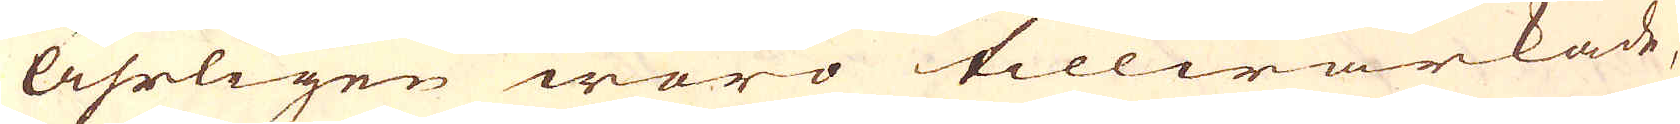åhrligen woro tillwärkade;
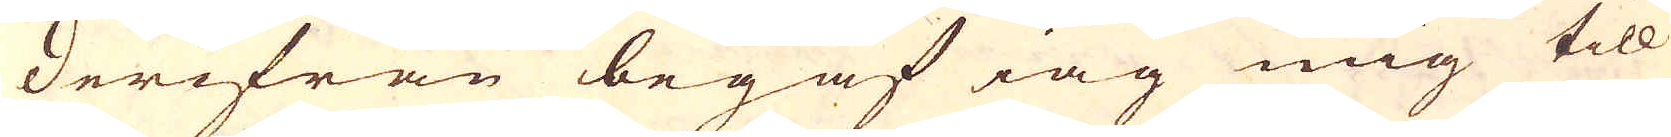Derifrån begaf iag mig till
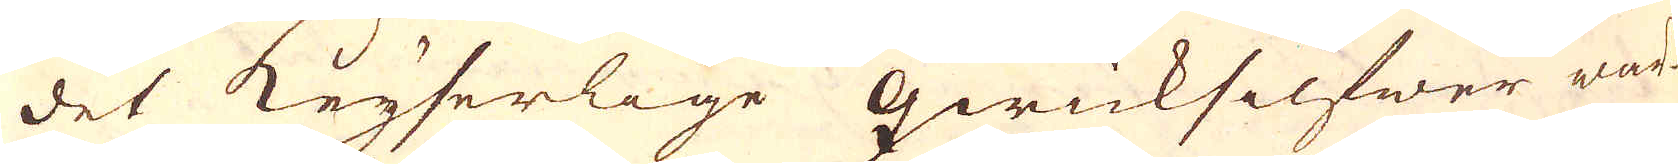det Keyserlige qwicksilfwer wär-
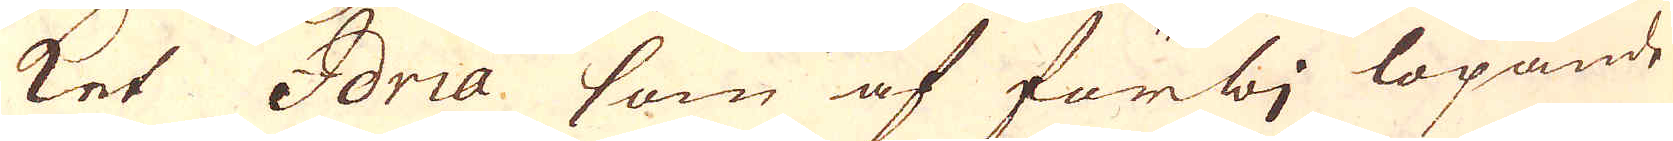ket Idria som af förbj löpande
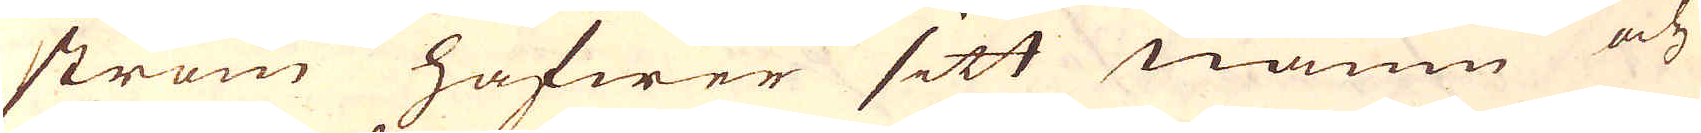ström hafwer sitt namn och
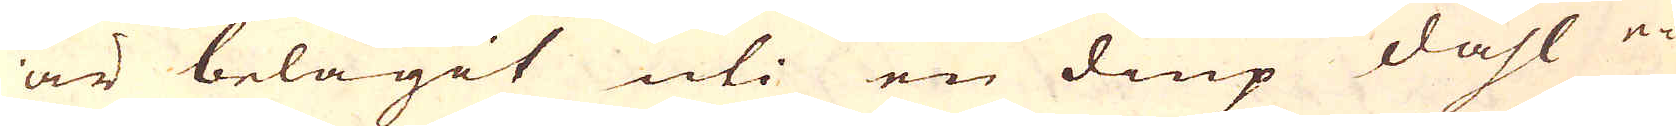är belägit uti en diup dahl e-
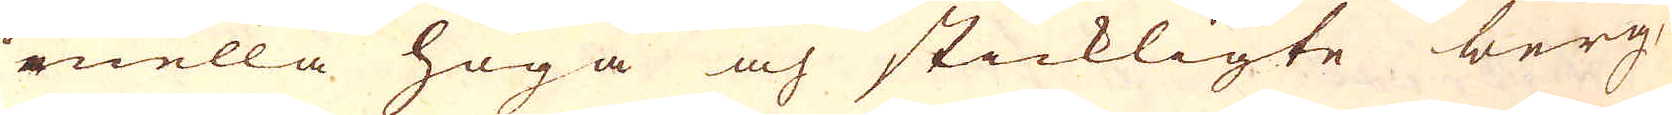rnella höga och stickligte berg
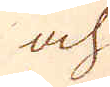och
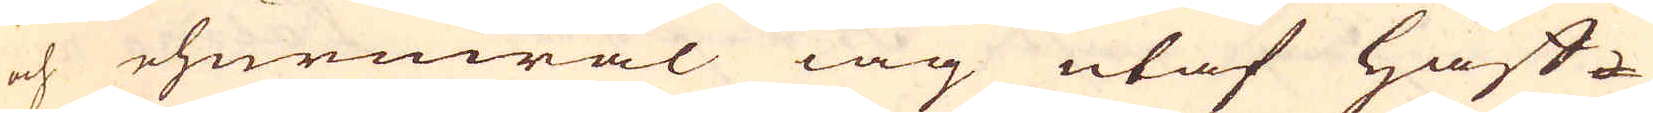och ehuruwäl iag utaf Håf-
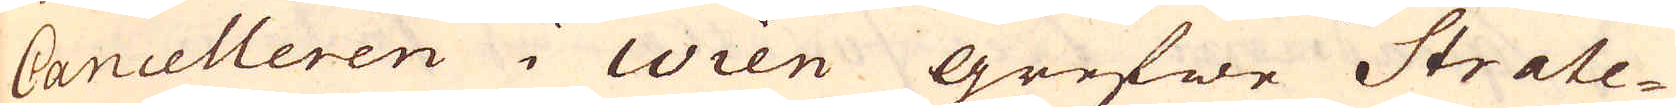Cancelleren i Wien grefwe Strate-
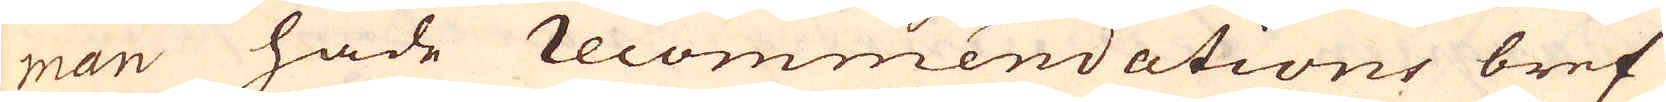man hade recommendations bref
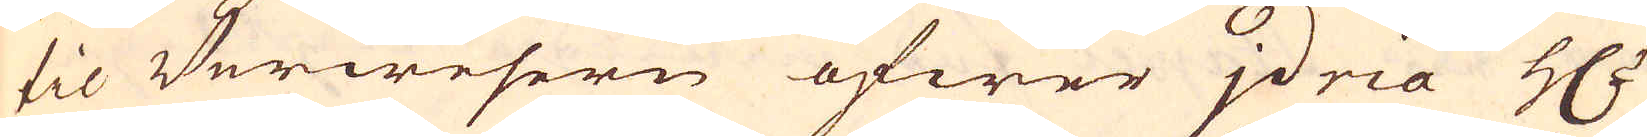til Verwesern öfwer jdria H:r
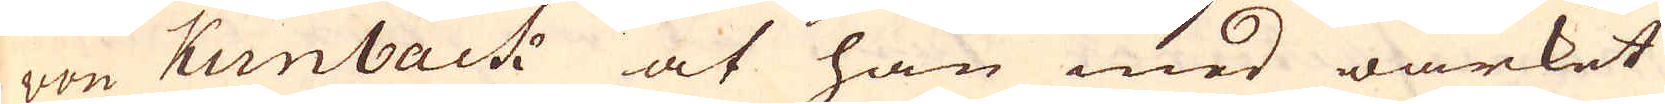von Kunback at han med wärket
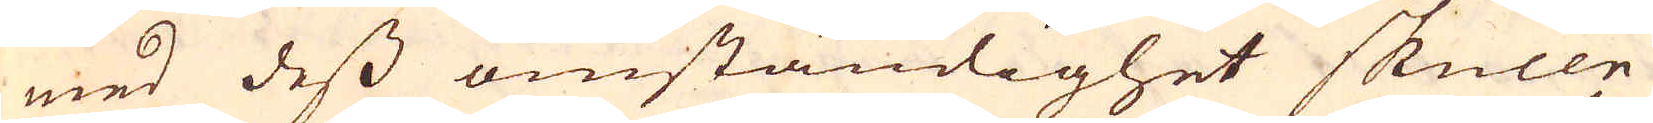med dess omständighet skulle
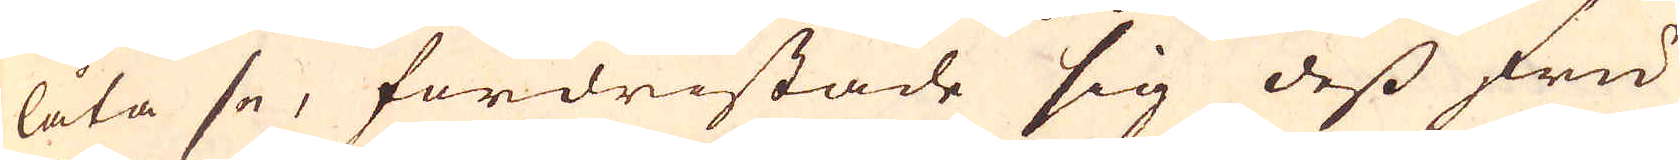låta se, fördristade sig dess fru
